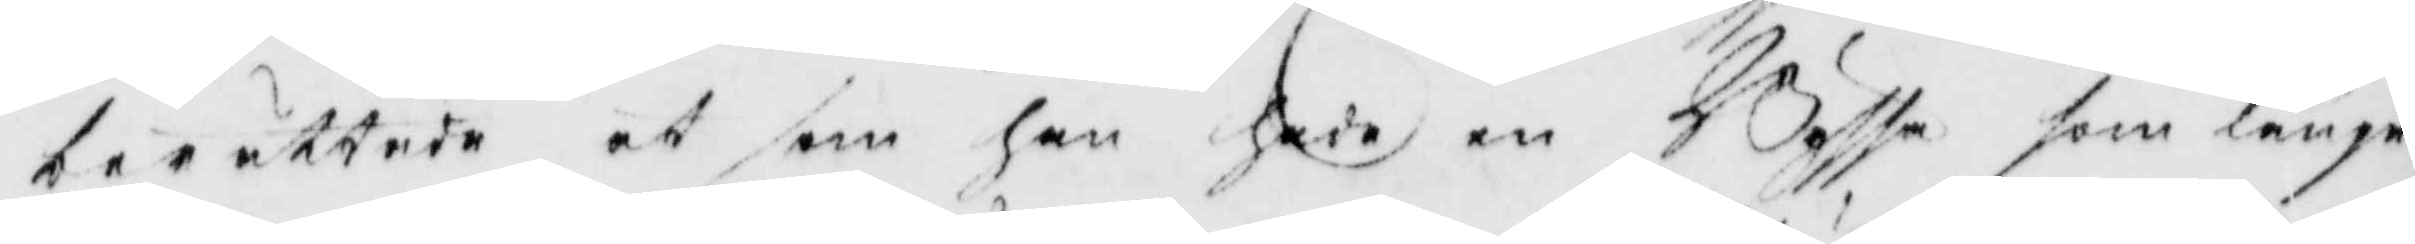berättade at som han hade en Byssa som länge
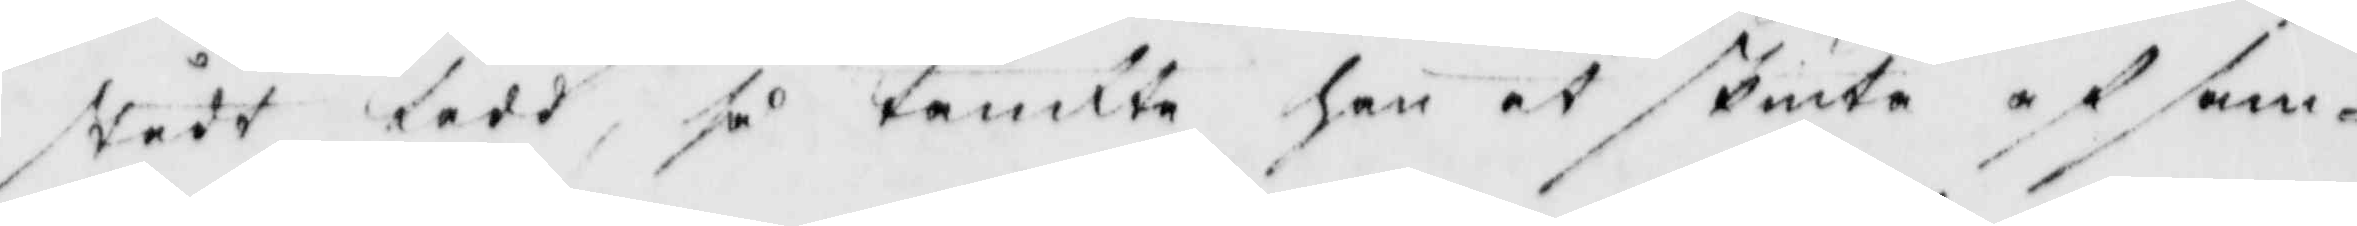stådt ladd, så tänkte han at skiuta af sam¬
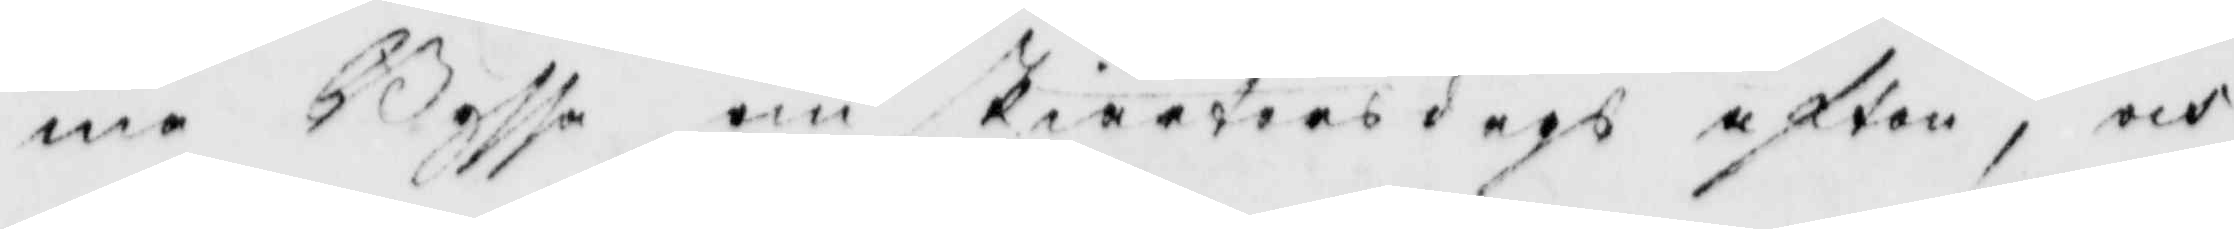ma Byssa om skiärtorsdags afton, och
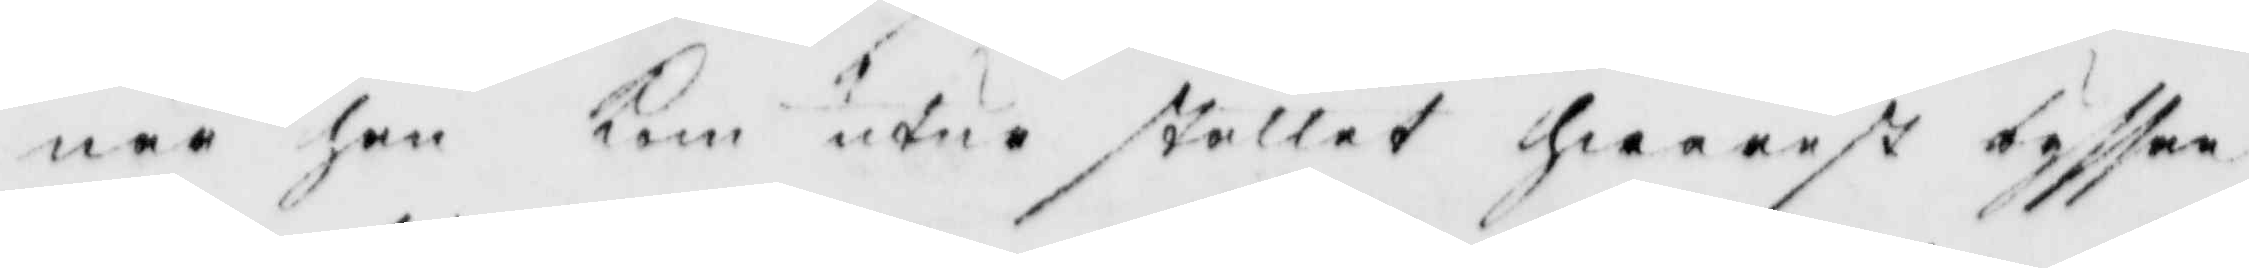när han kom utur stallet hwarets byssan
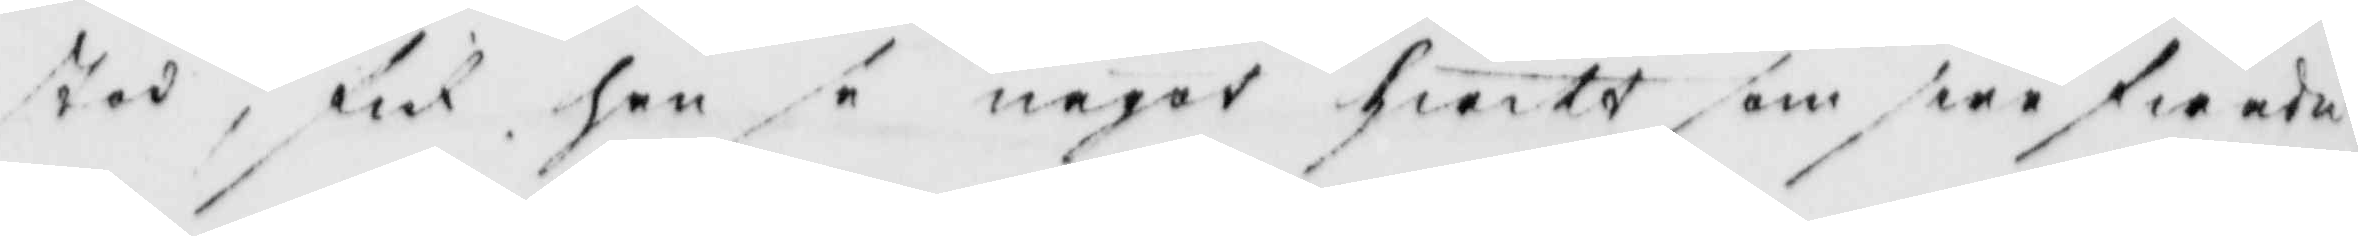stod, fick han se något hwitt som swefwade
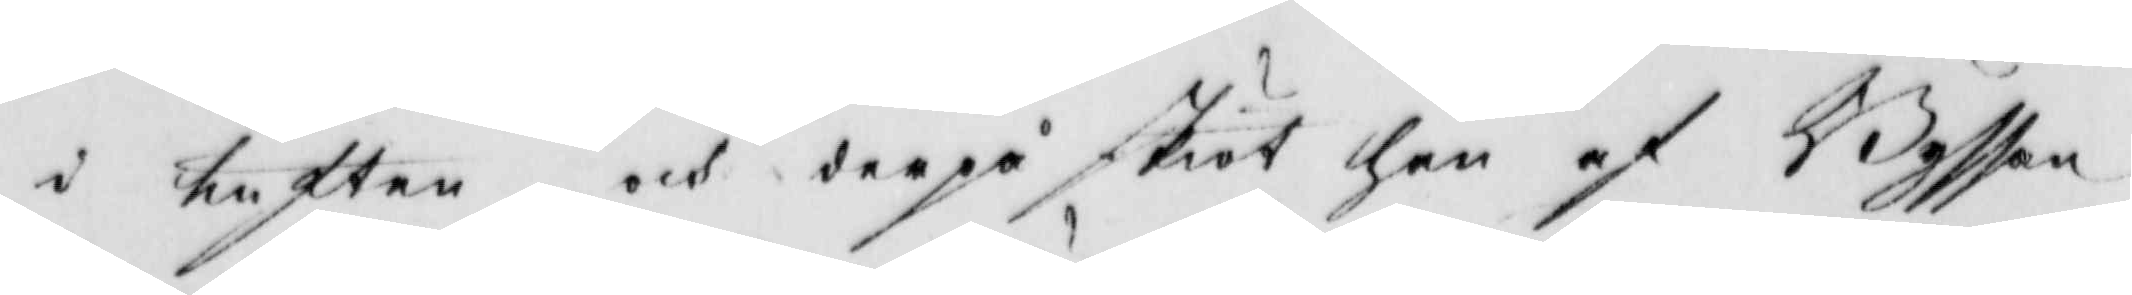i luften och derpå sköt han af Byssan
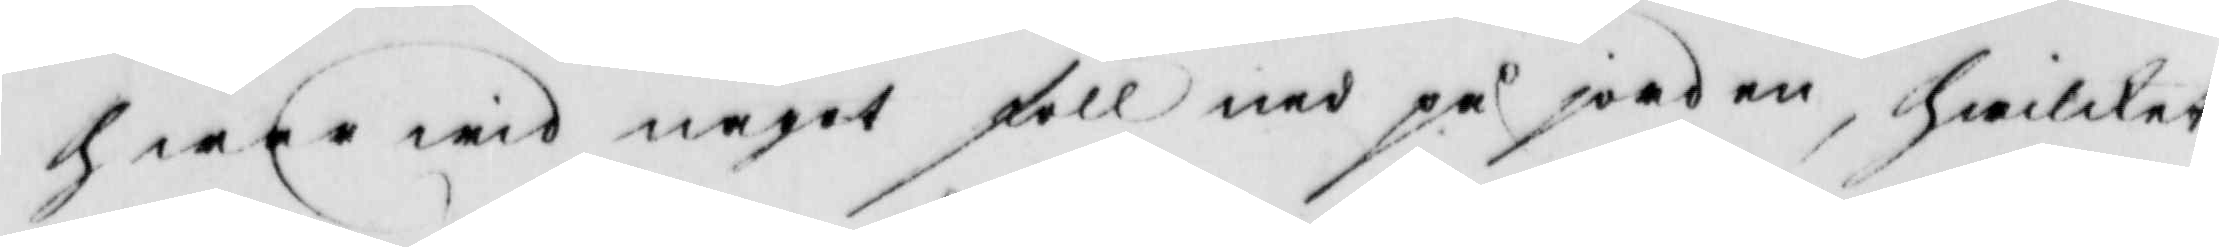hwarwid något föll ned på jorden, hwilket
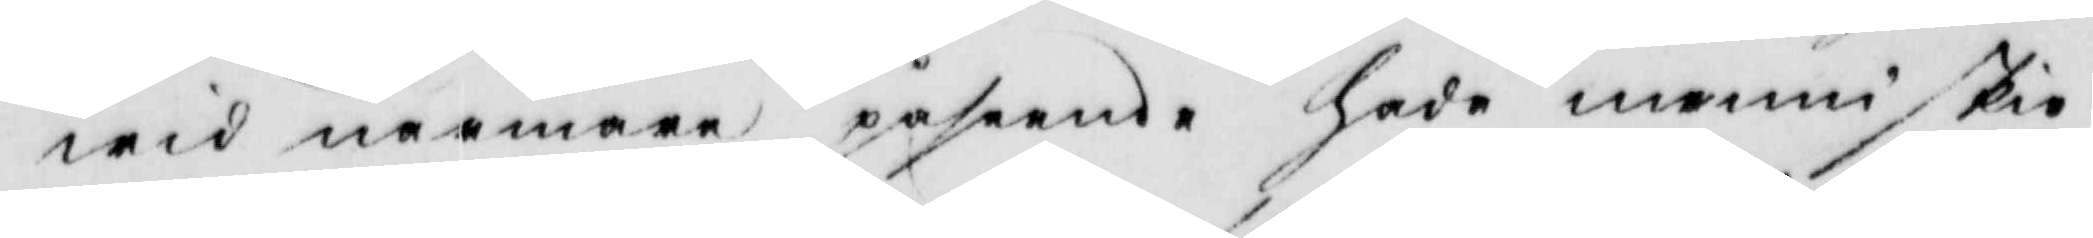wid närmare påseende hade menniskio¬
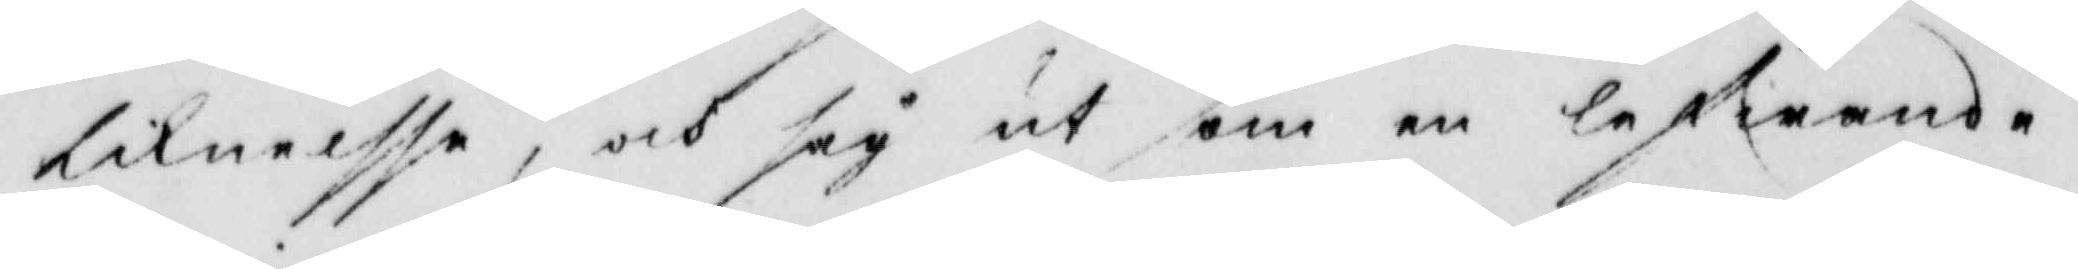liknelsse, och såg ut som en lefwande
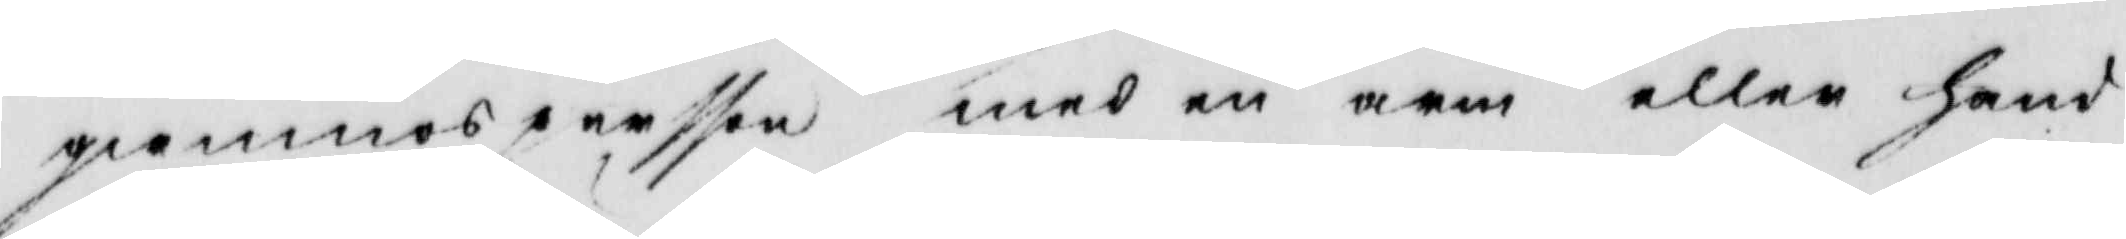qwinnspersson med en arm eller hand
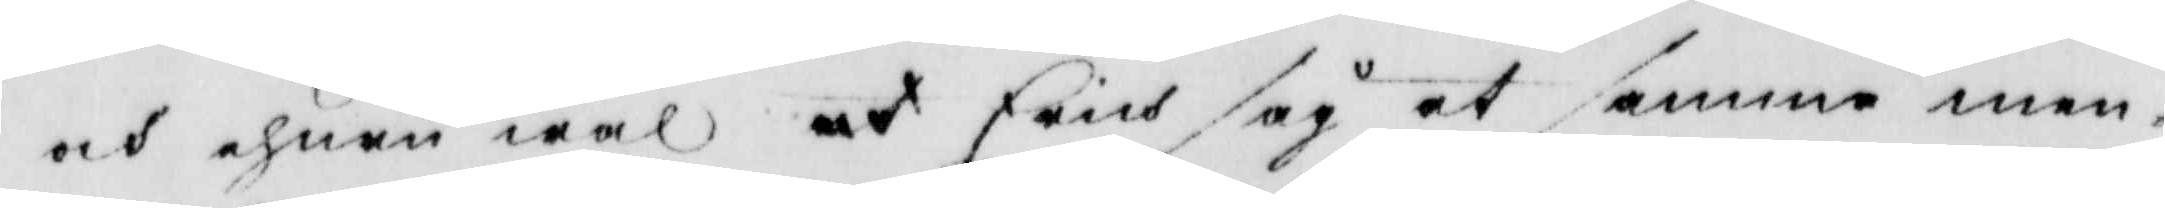och ehuru wäl at Erich såg at samma men¬
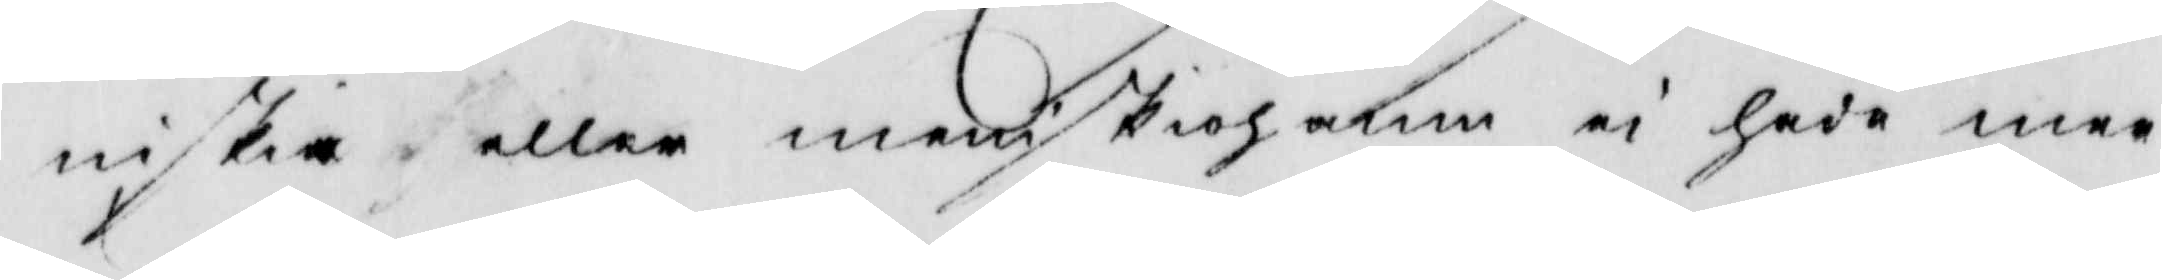niskia eller meniskiohamn ei hade mer
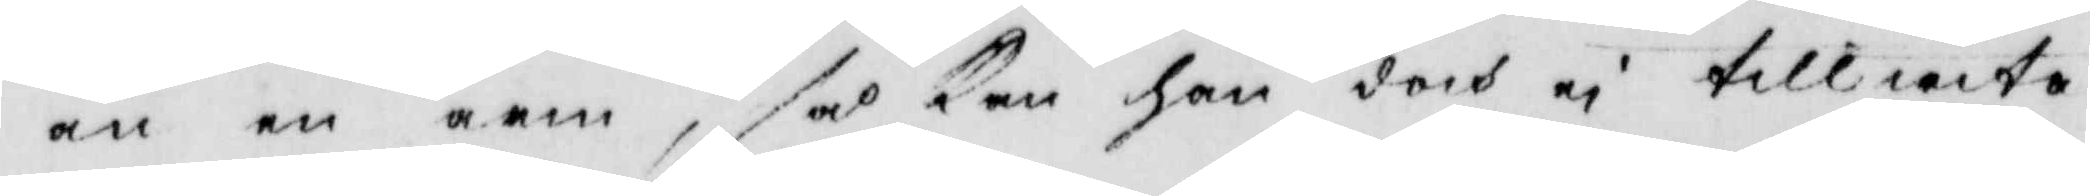än en arm, så kan han doch ei tillwita
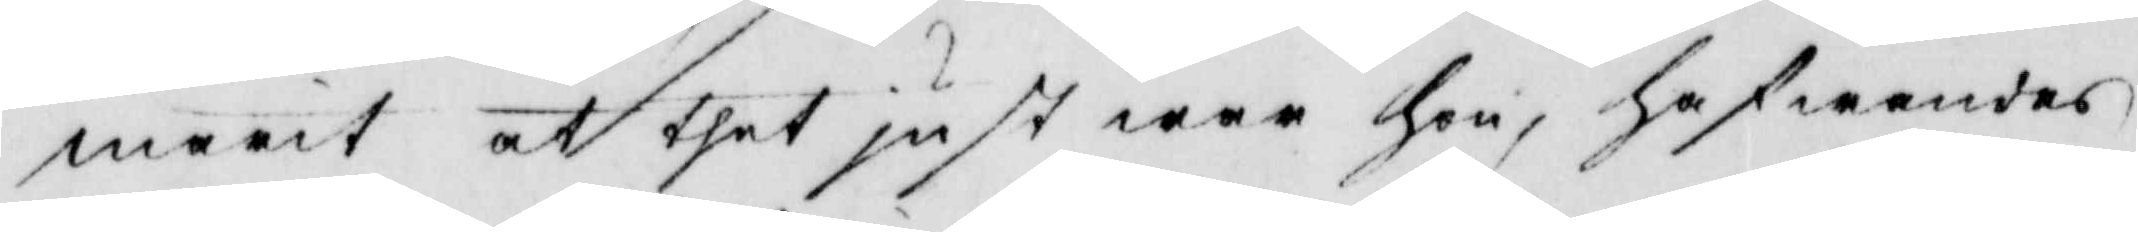marit at thet just war hon, hafwandes
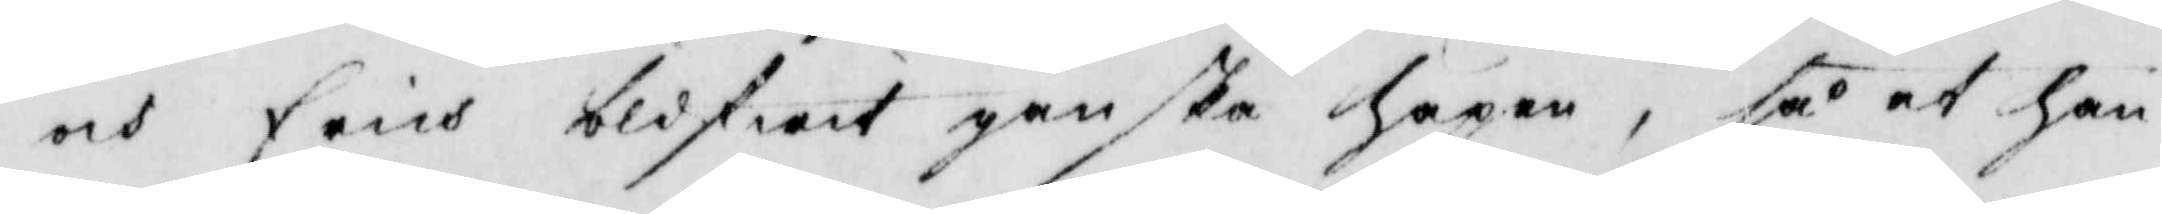och Erich blifwit ganska häpen, så at han
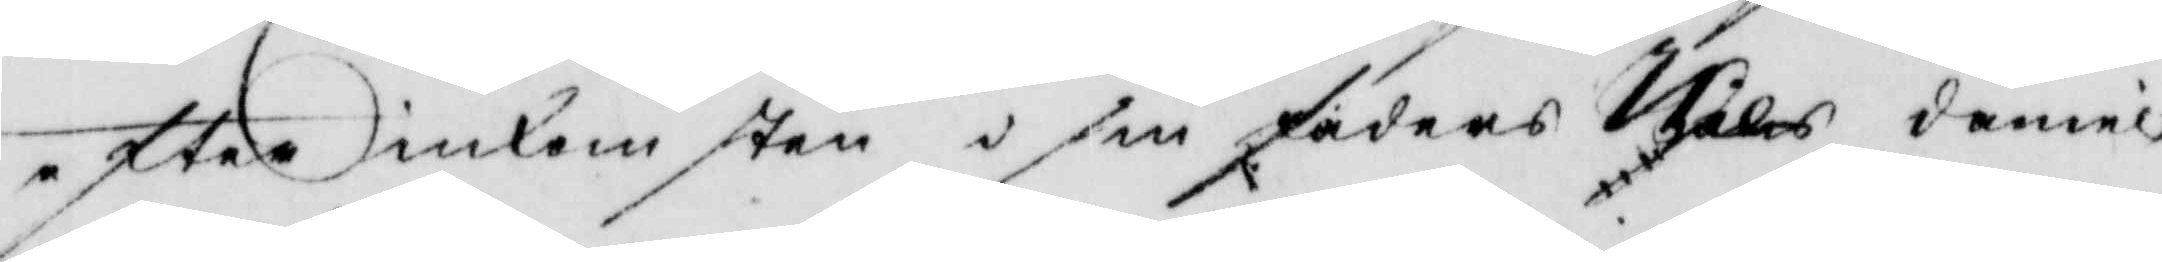efter inkomsten i sin faders Nils daniel¬
